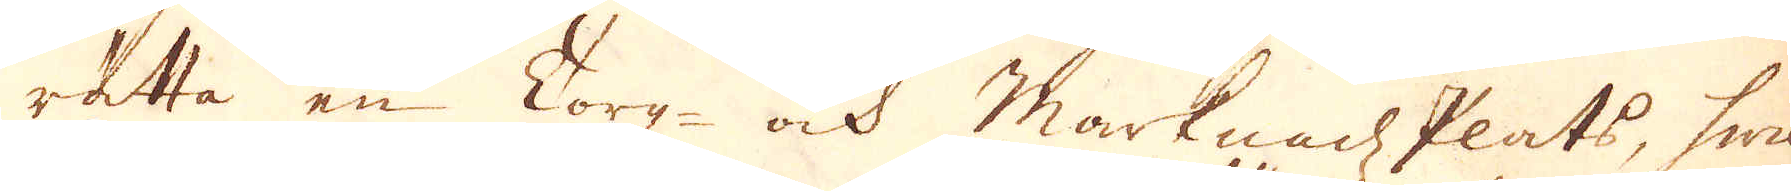rätta en Torg- och Marknadz Plats, hwil-
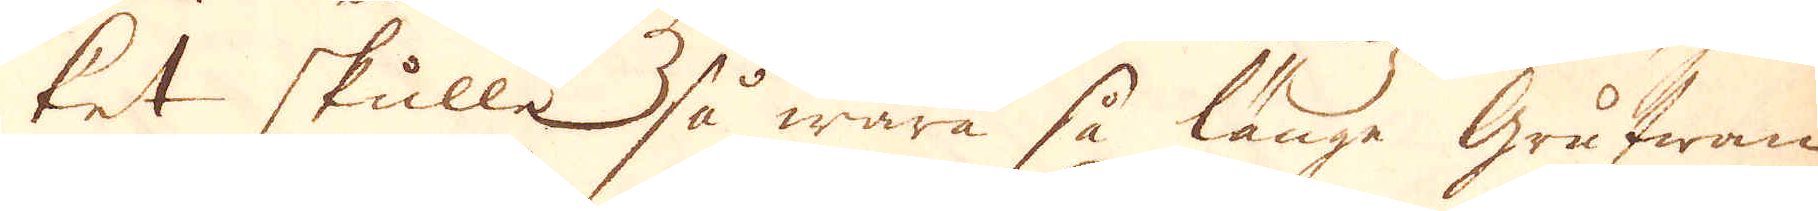ket skulle så wara så länge Grufwan
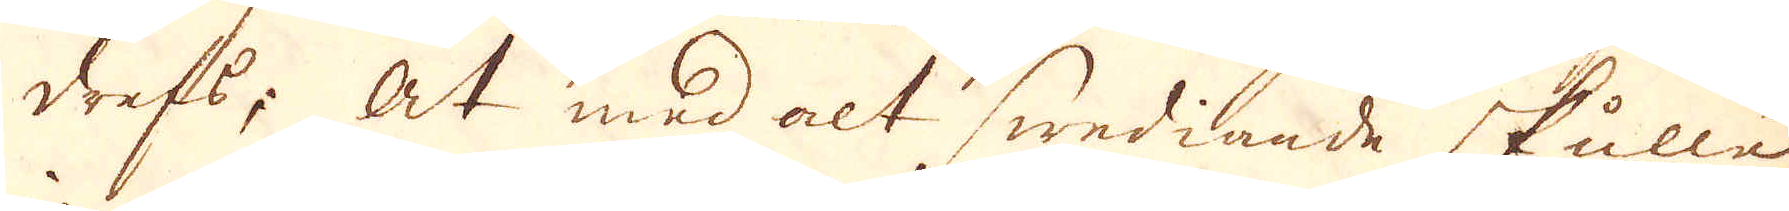drefs; At med alt swediande skulle
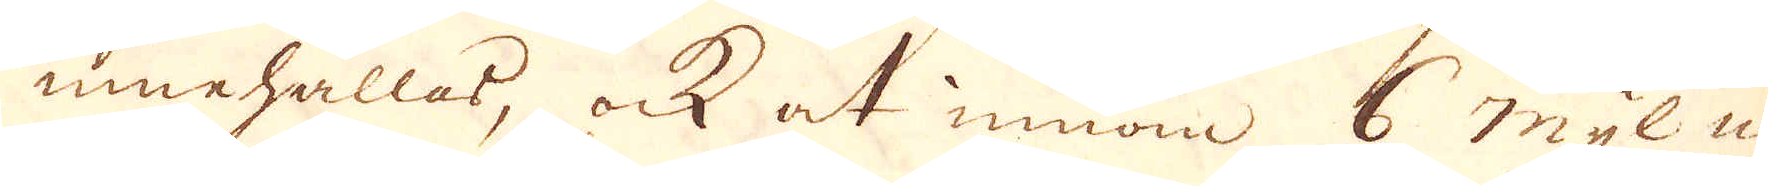innehållas, ock at innom 6 mijl när
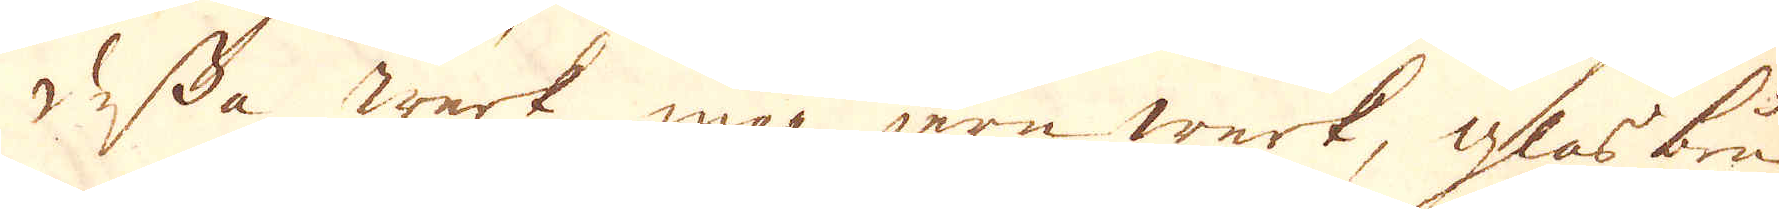dessa Wärk inga Jern Werk, glas bruk
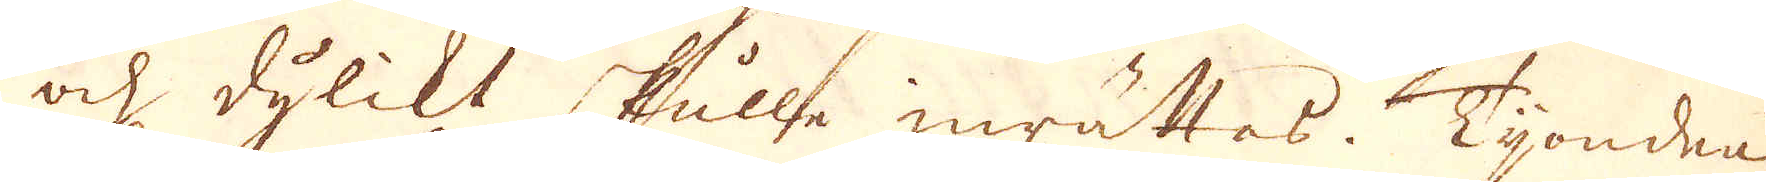och dylikt skulle inrättas. Tijonden
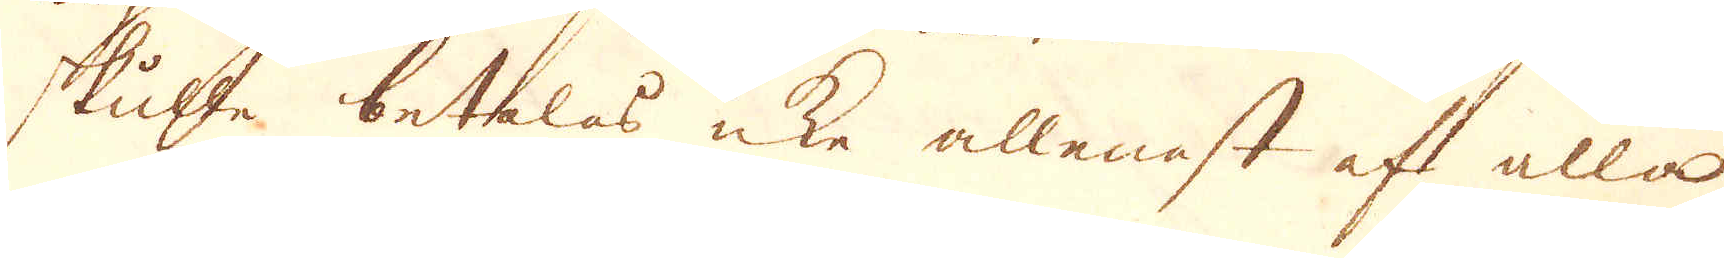skulle betalas icke allenast af alla
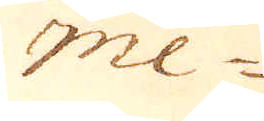me-
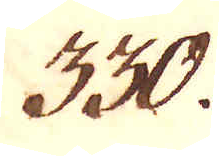330.
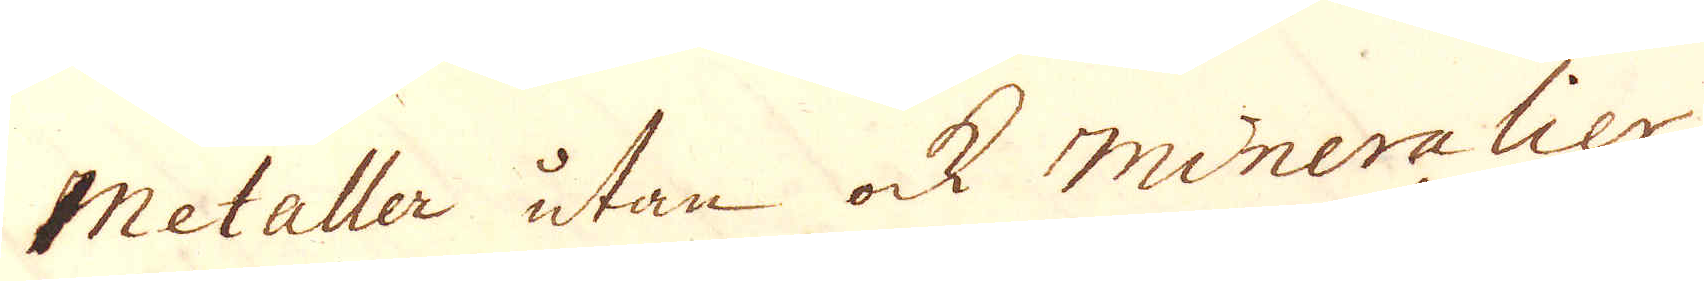Metaller utan ock mineralier,
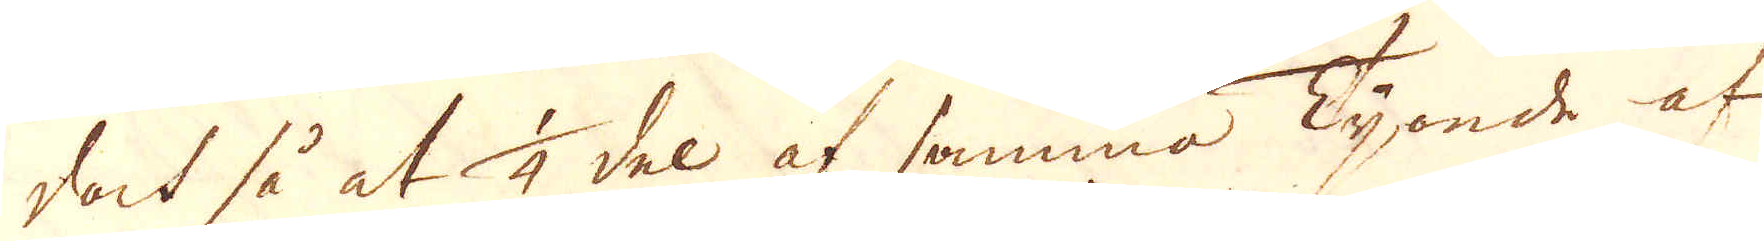doch så at 1/4 del af samma Tijonde af
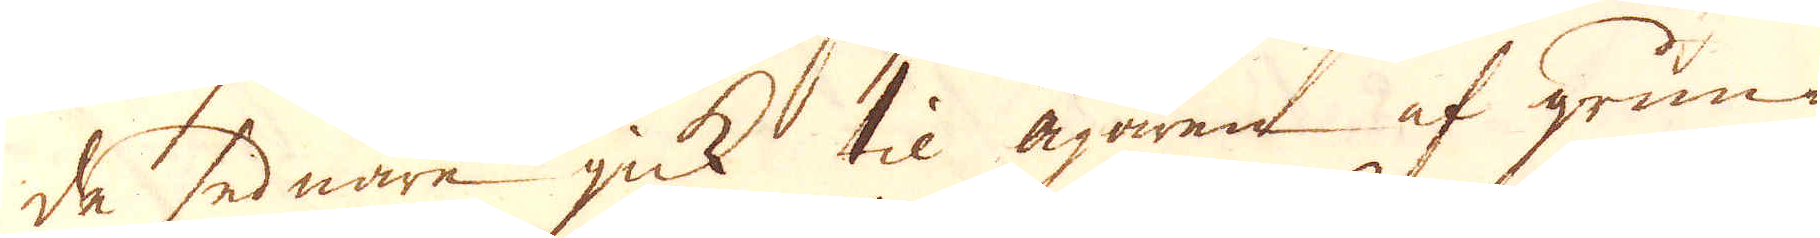de sednare gick til Ägaren af grun-
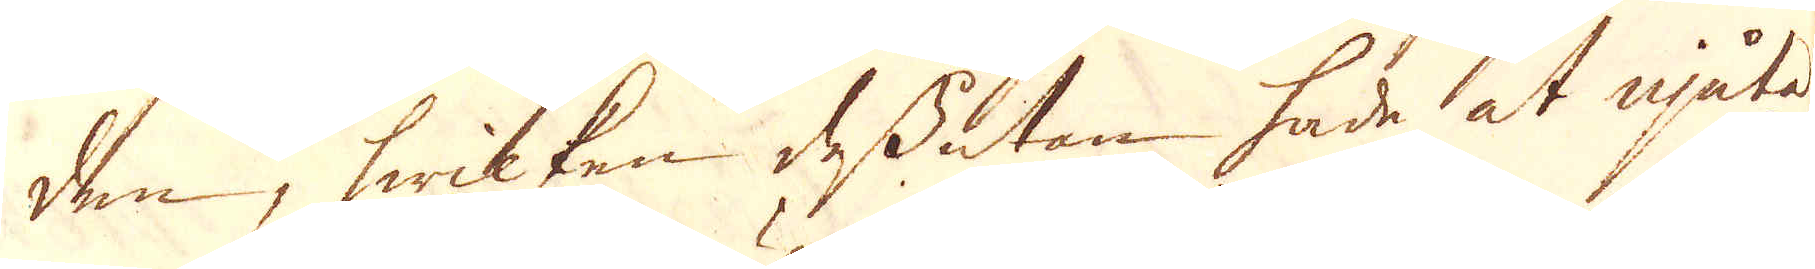den, hwilken dessutan hade at njuta
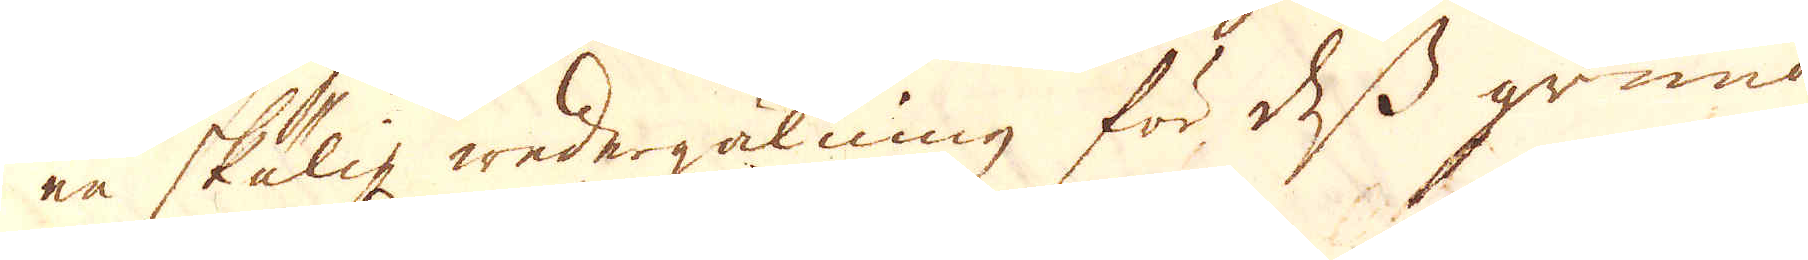en skälig wedergälning för dess grund
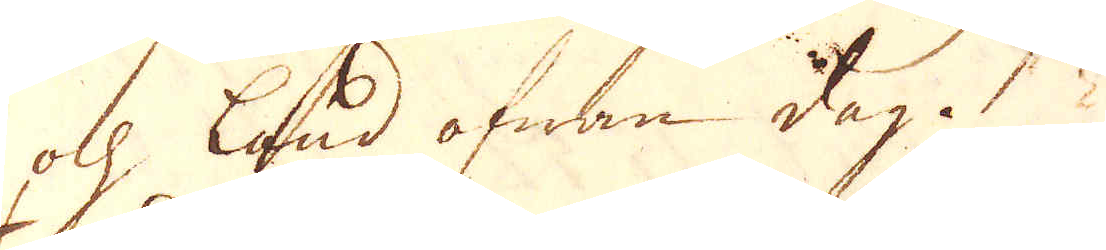och land ofwan dag.
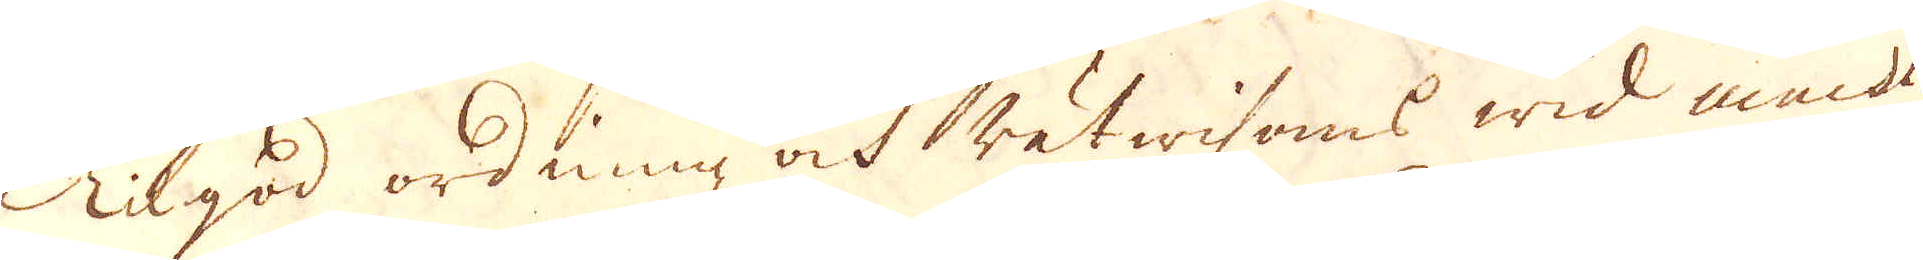Til god ordning och rätwisans wid macht
